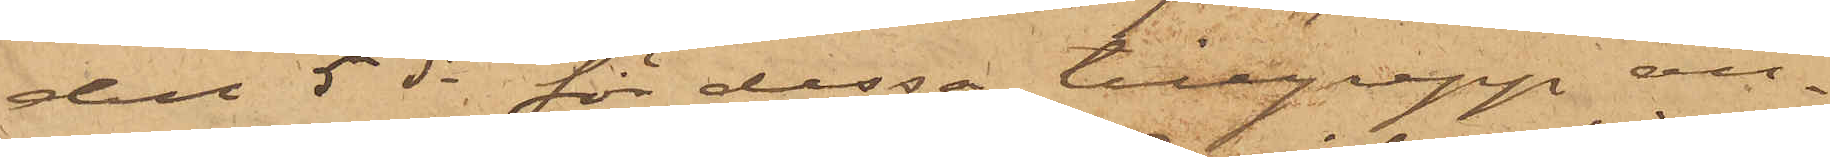den 5 ds för dessa tillgrepp an¬
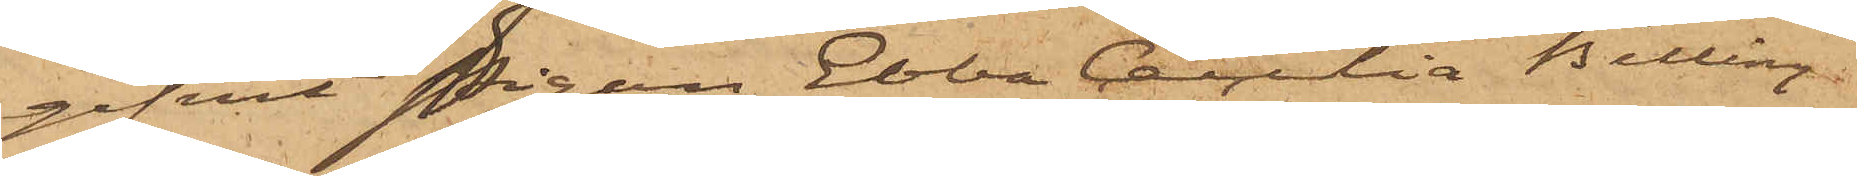gifvit Pigan Ebba Cecilia Billing
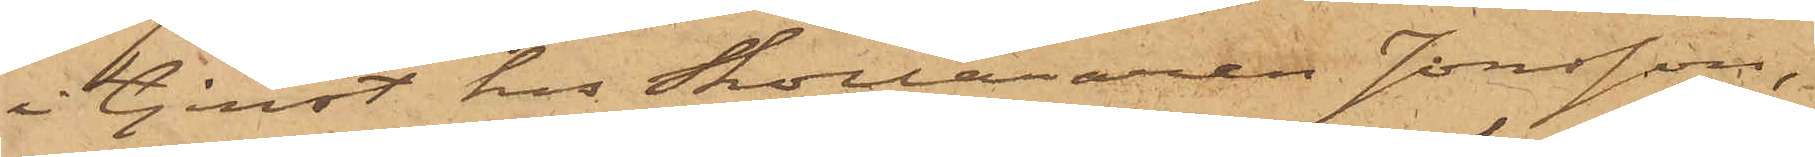i tjenst hos Skolläraren Jonsson,
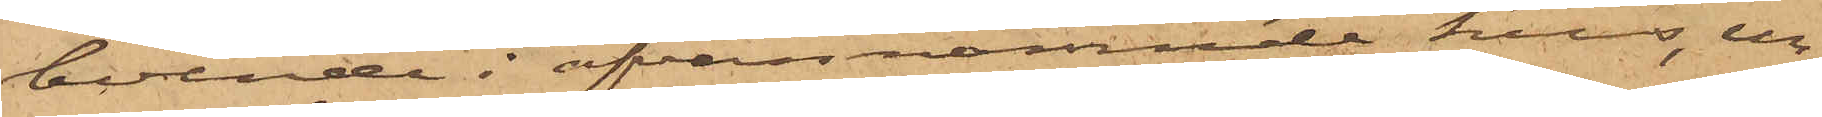boende i ofvannämnde hus, un¬
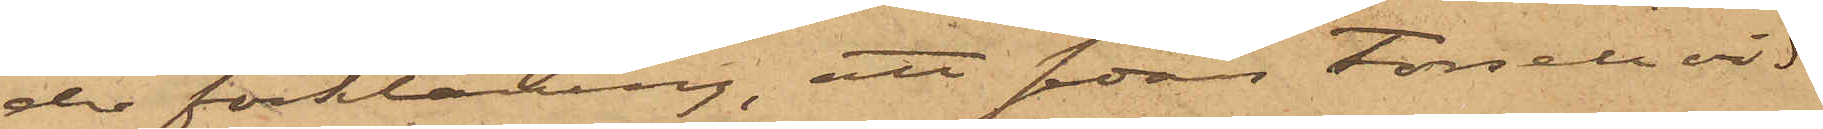der förklaring, att sedan Forsell vid
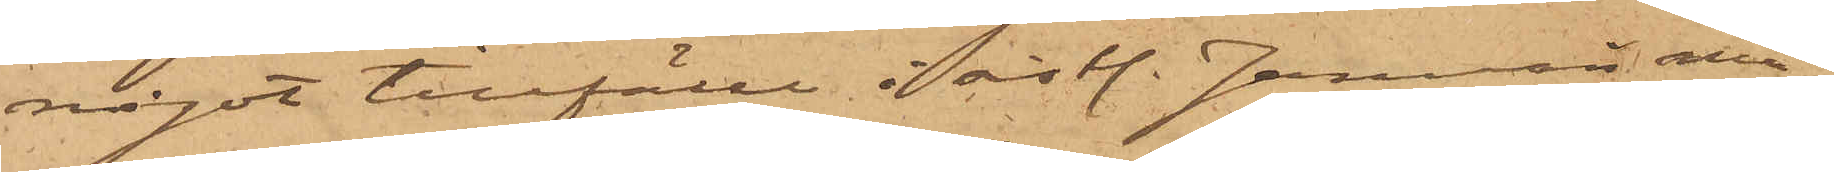något tillfälle i sistl. Januari må¬
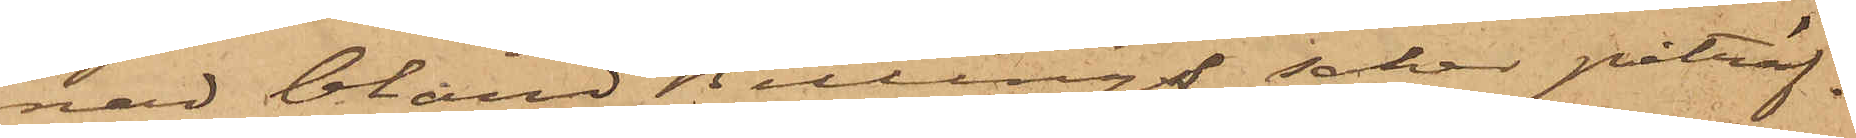nad bland Billings saker påträf¬
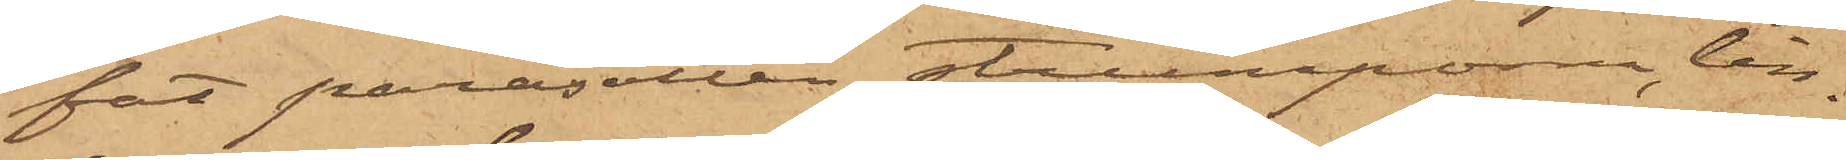fat parasollen, strumporna, lin¬
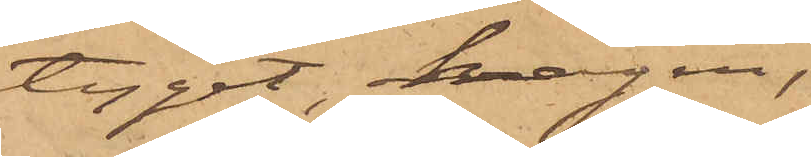tyget, kragen,
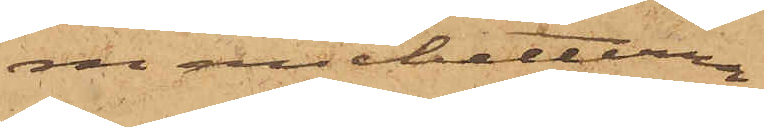manchetterna
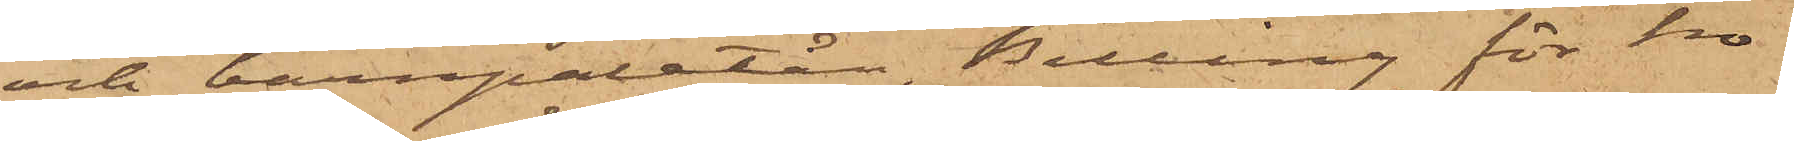och barnpaletån, Billing för ho¬
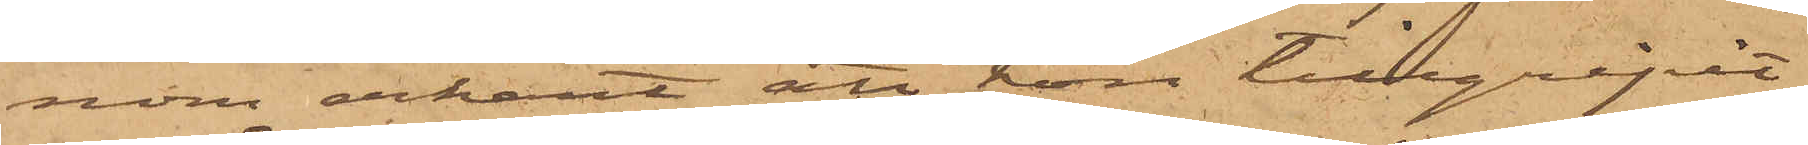nom erkänt att hon tillgripit
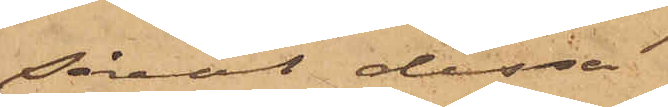såväl dessa
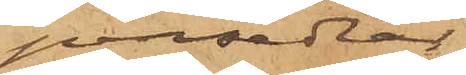persedlar
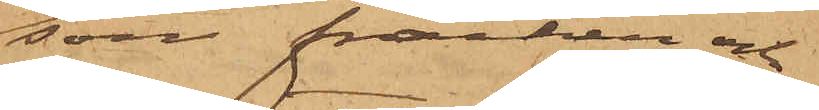som fracken och
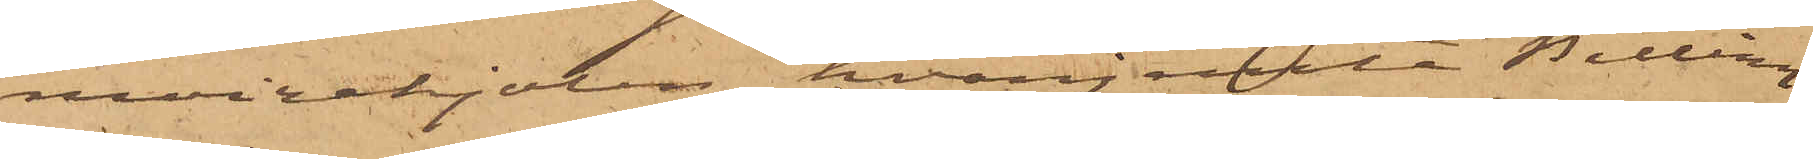moirekjolen, hvarjemte Billing
